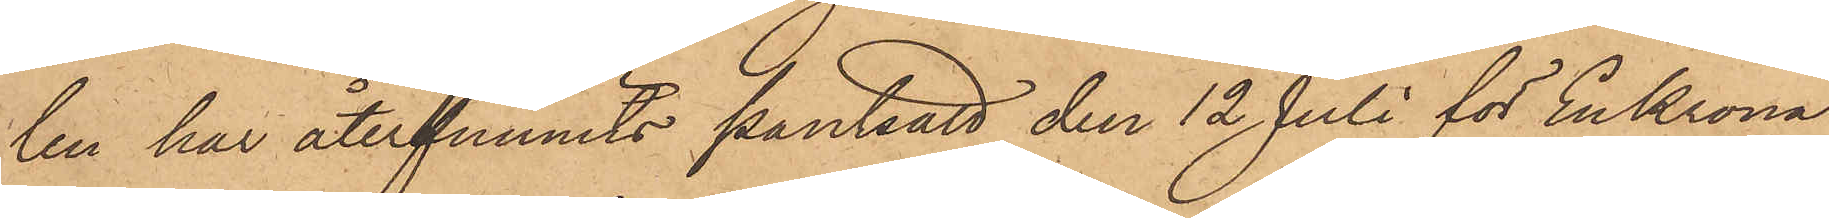len har återfunnits pantsatt den 12 Juli för En Krona
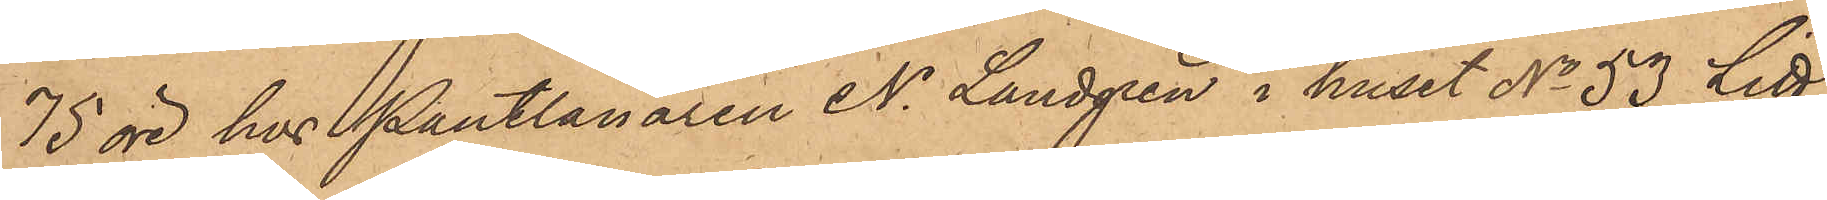75 öre hos Pantlånaren N. Landgren i huset No 53 Litt
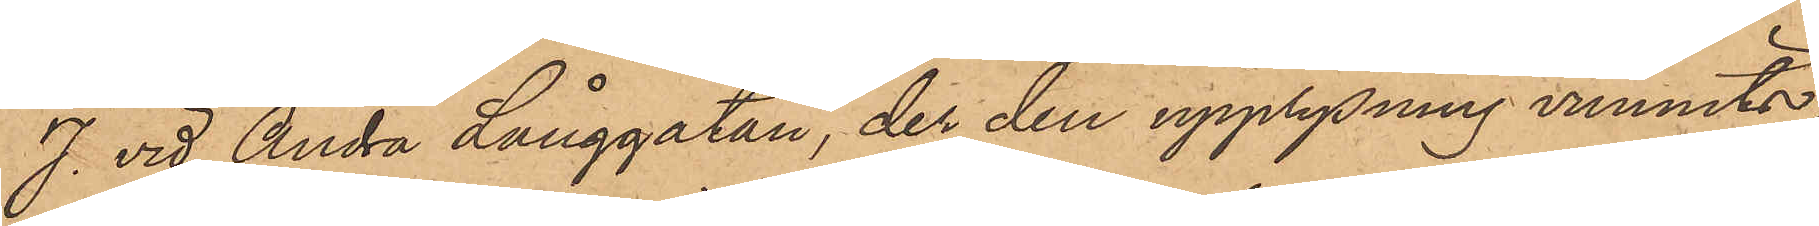J. vid Andra Långgatan, der den upplysning vunnits,
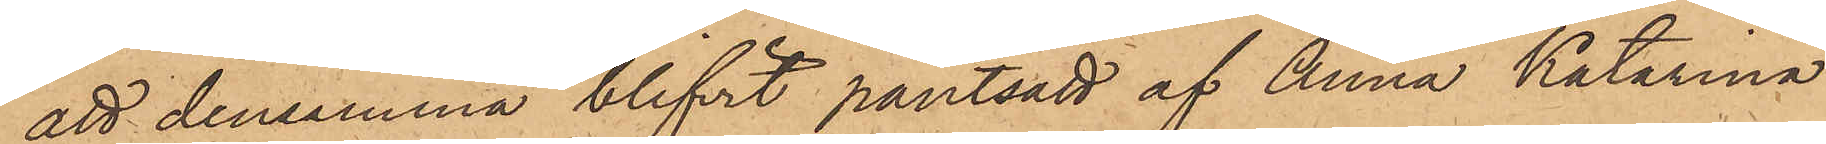att densamma blifvit pantsatt af Anna Katarina
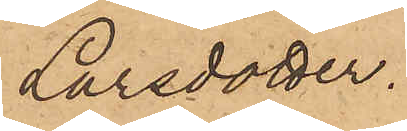Larsdotter.
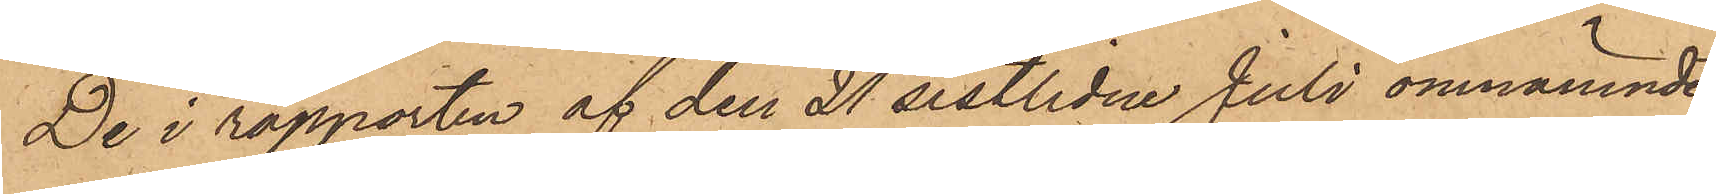De i rapporten af den 21 sistlidne Juli omnämnde
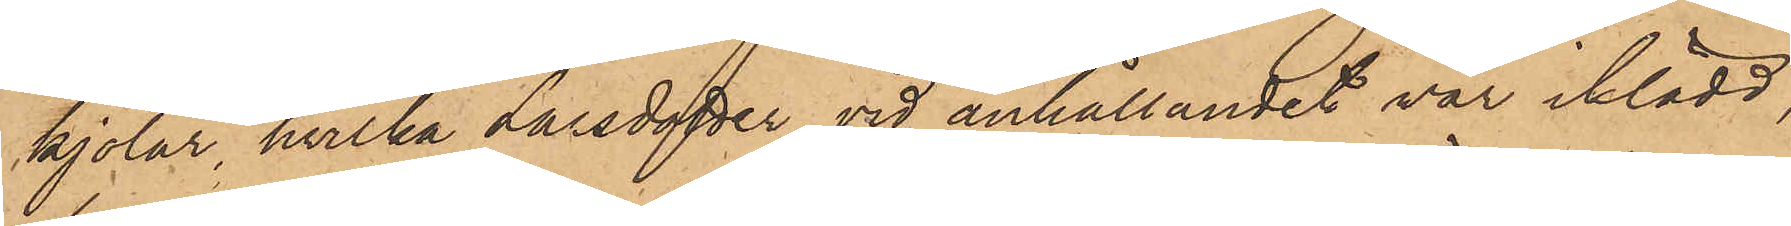kjolar, hvilka Larsdotter vid anhållandet var iklädd,
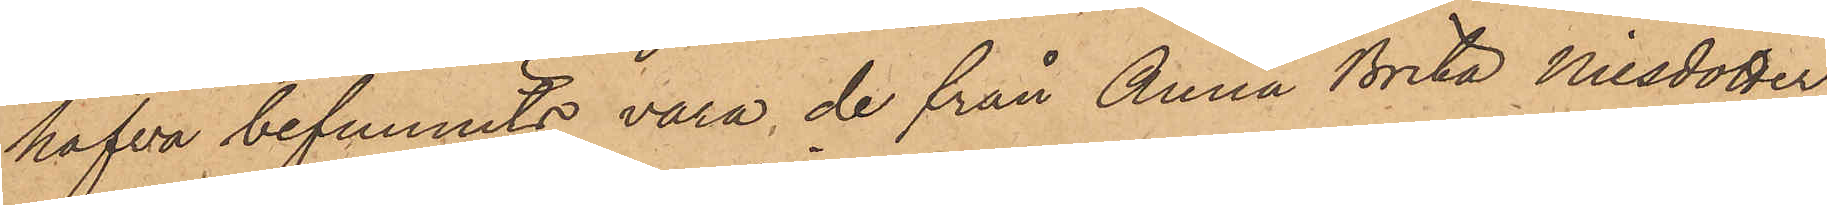hafva befunnits vara de från Anna Brita Nilsdotter
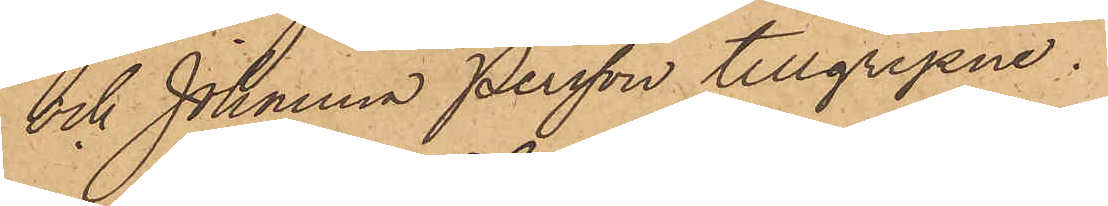och Johanna Persson tillgripne.
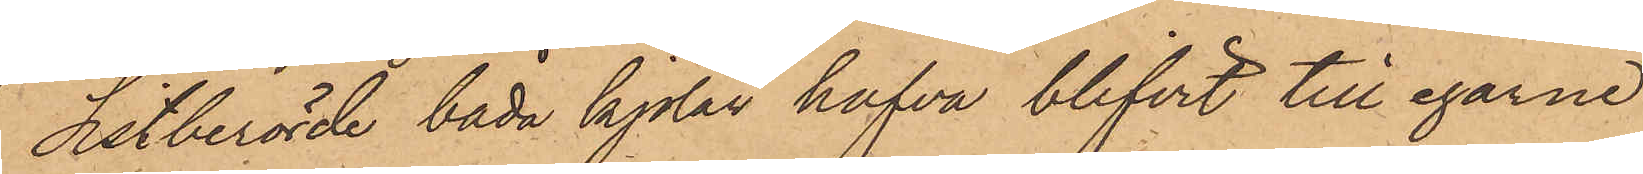Sistberörde båda kjolar hafva blifvit till egarne
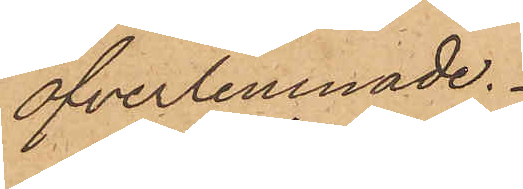öfverlemnade.
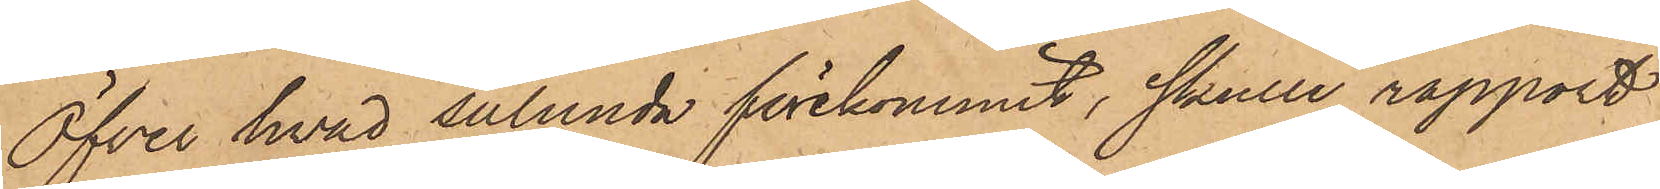Öfver hvad sålunda förekommit, skulle rapport
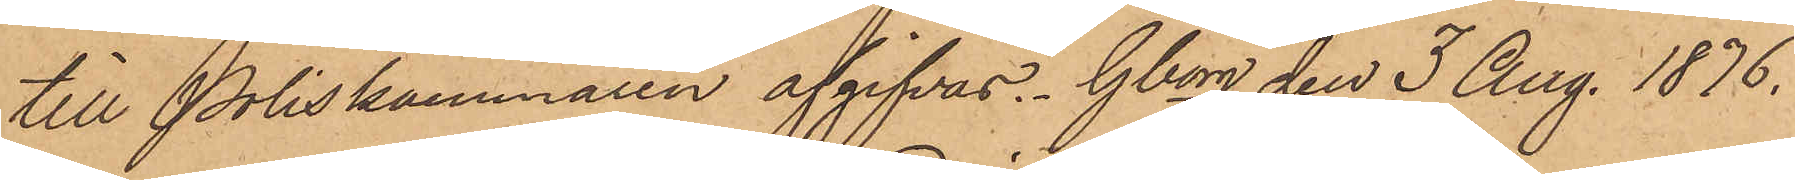till Poliskammaren afgifvas. Gborg den 3 Aug. 1876.
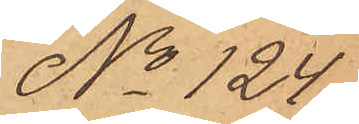No 124
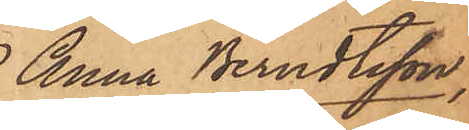 Anna Berndtsson,
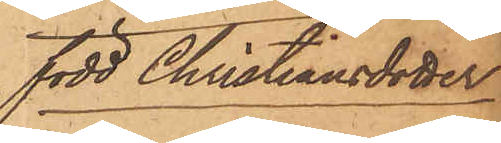född Christiansdotter
